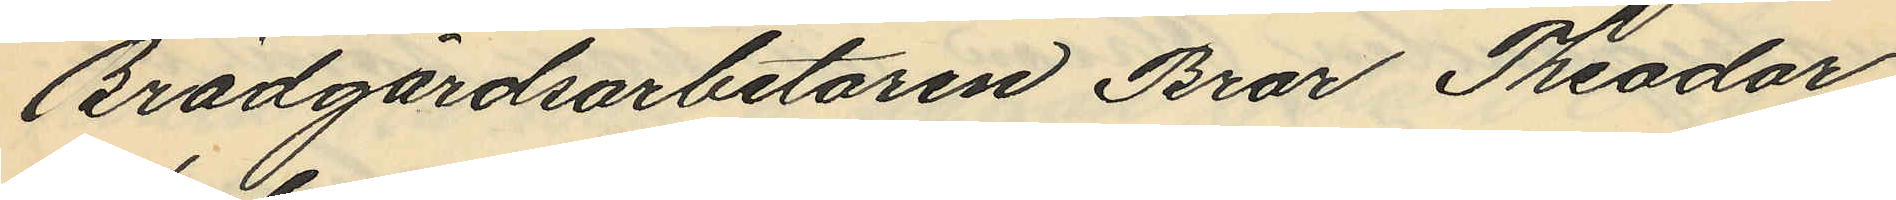Brädgårdsarbetaren Bror Theodor
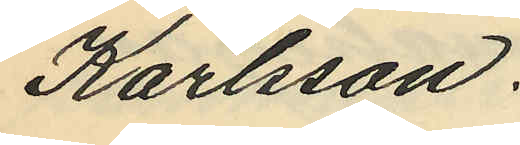Karlsson.
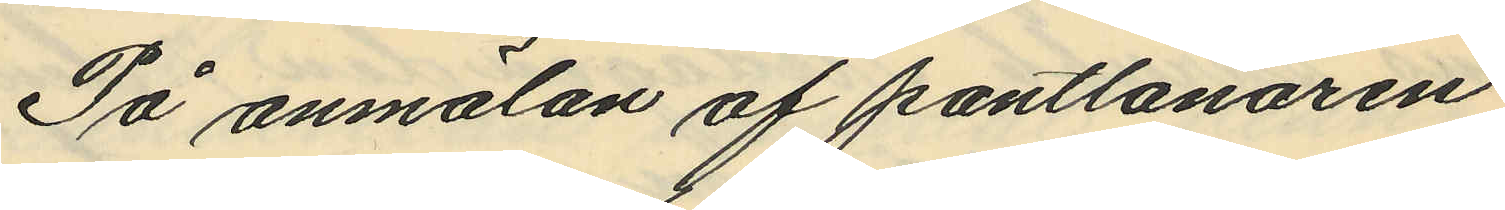På anmälan af pantlånaren
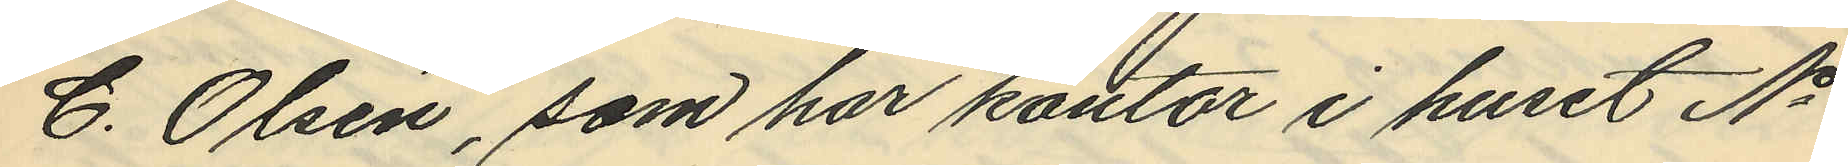C. Olsén, som har kontor i huset No
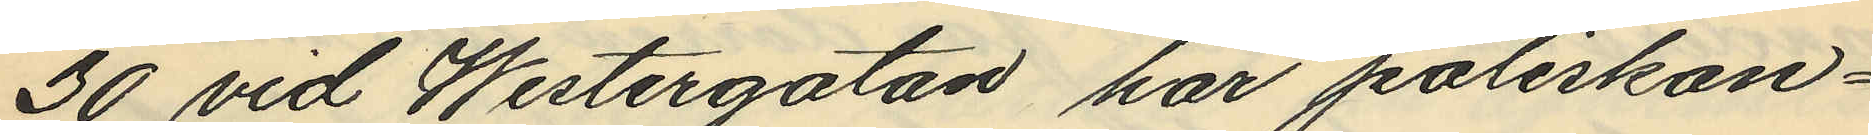30 vid Westergatan har poliskon¬
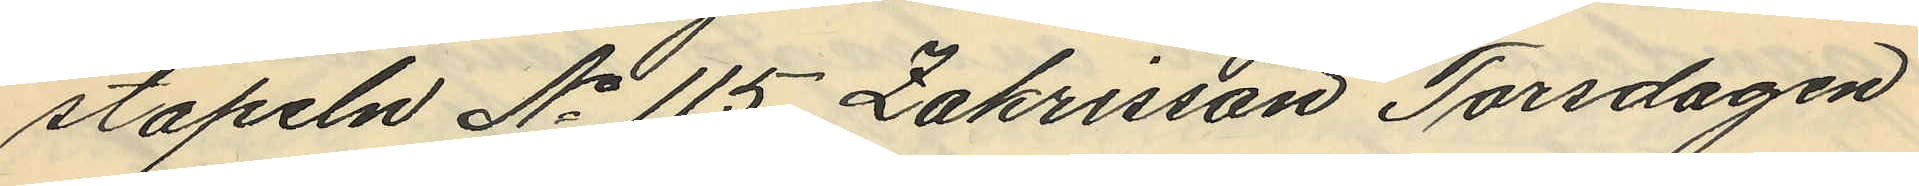stapeln No 115 Zakrisson Torsdagen
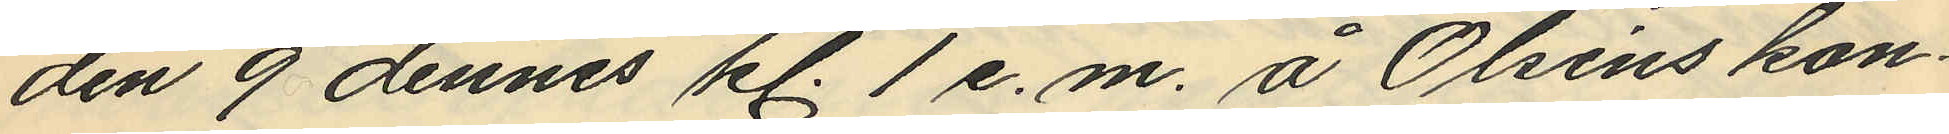den 9 dennes kl. 1 e.m. å Olséns kon¬
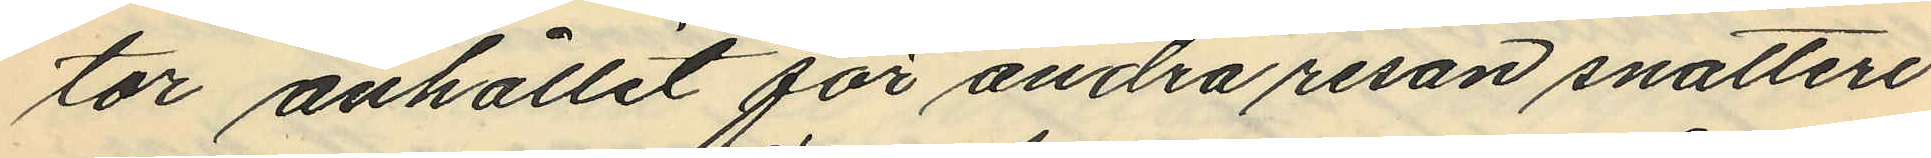tor anhållit för andra resan snatteri
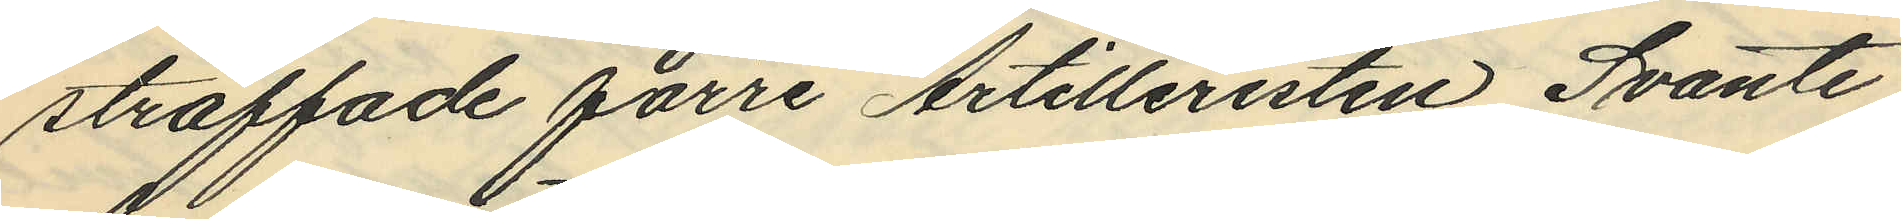straffade förre Artilleristen Svante
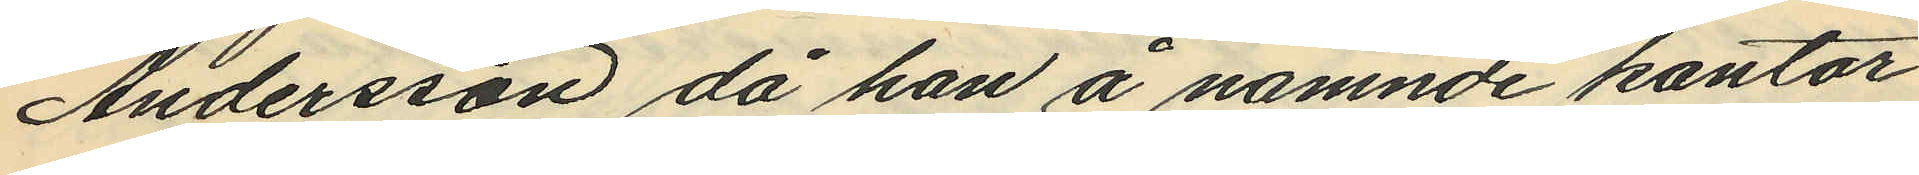Andersson då han å nämnde kontor
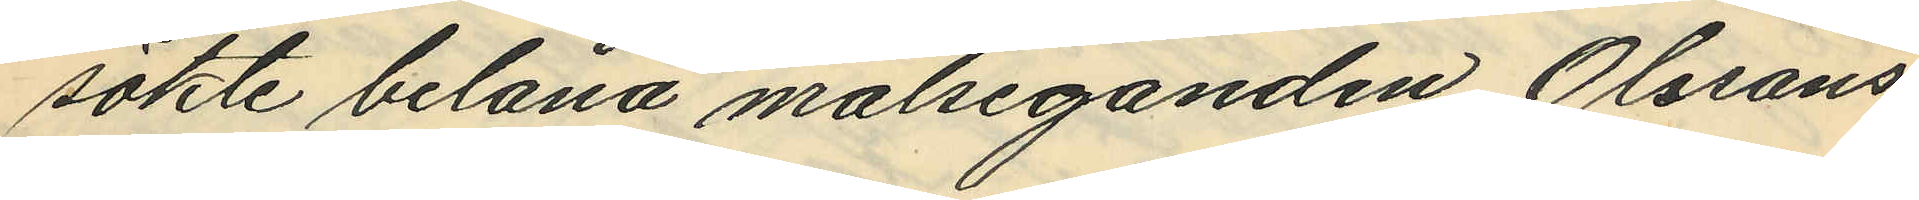sökte belåna målseganden Olssons
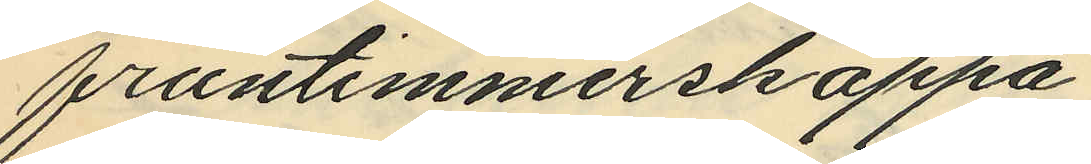fruntimmerskappa.
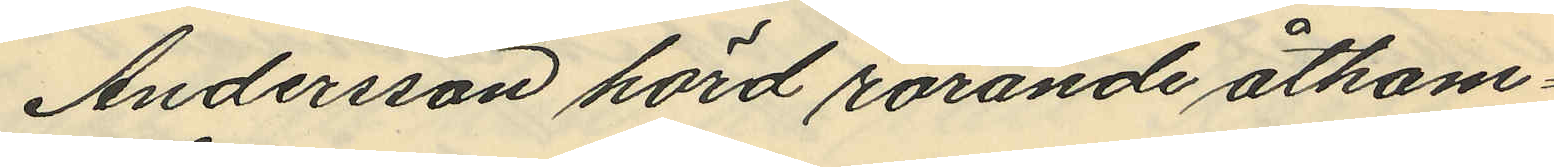Andersson hörd rörande åtkom¬
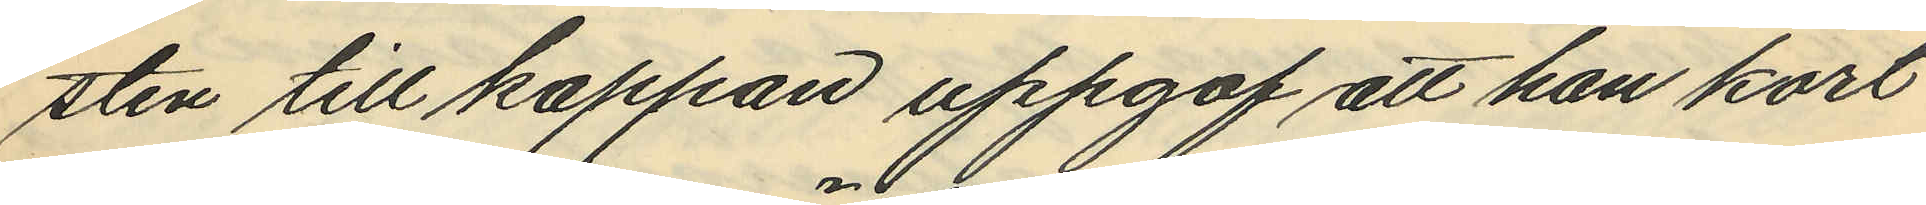sten till kappan uppgaf att han kort
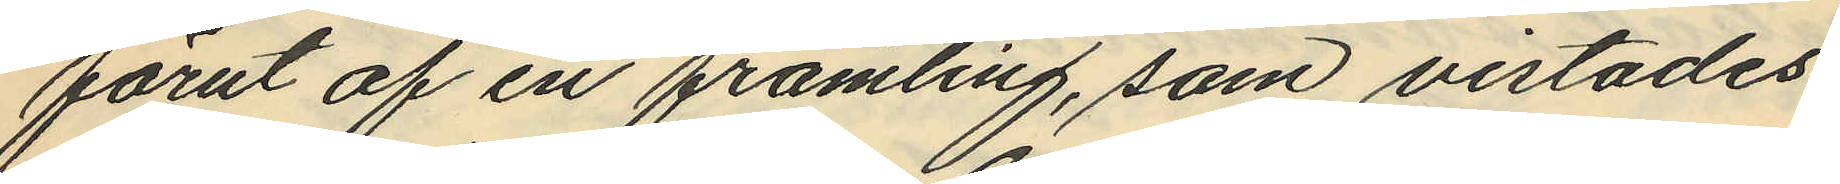förut af en främling, som vistades
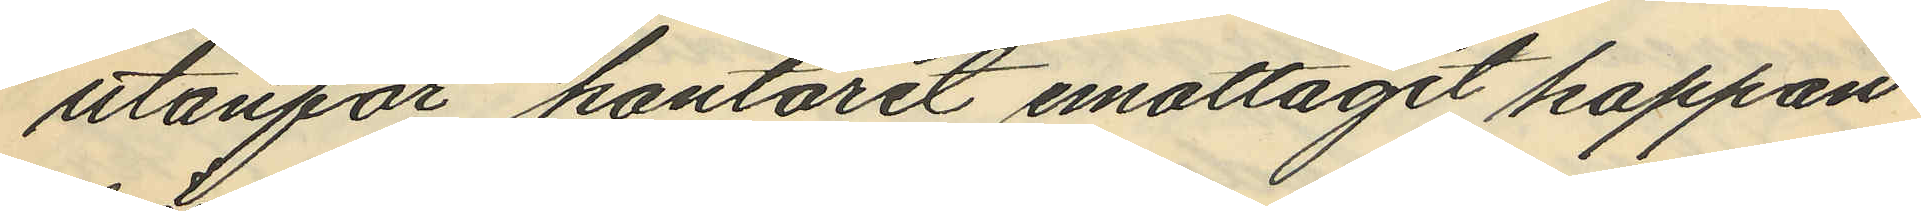utanför kontoret emottagit kappan
